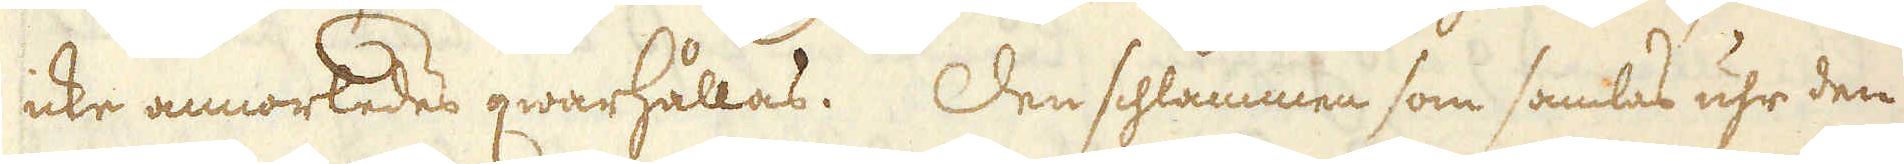icke annorledes qwarhållas. Den schlammen som samlas uhr den
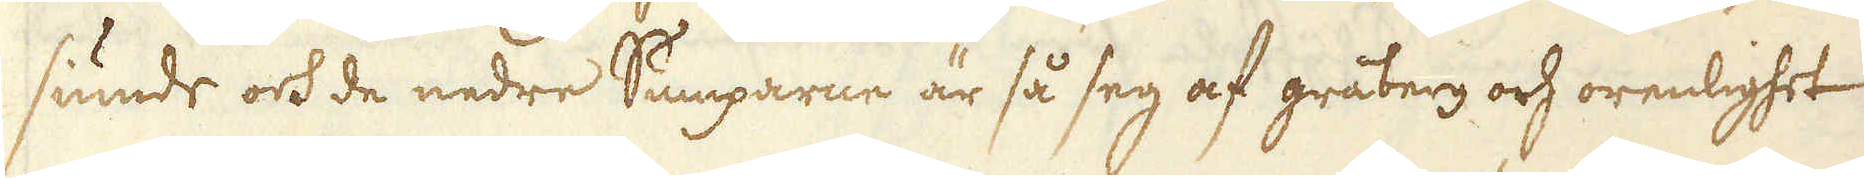siunde och de nedre Sumparne är så seg af gråberg och orenlighet
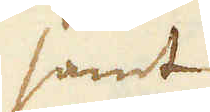samt
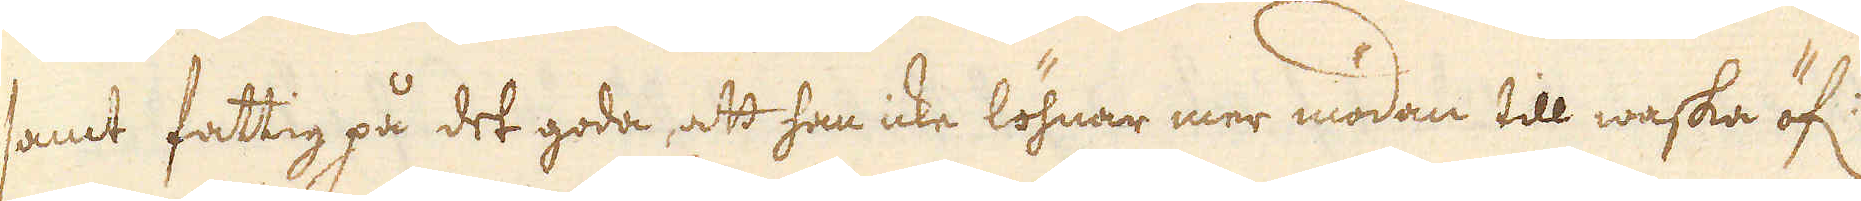samt fattig på det goda, att han icke löhnar mer mödan till waska öf:
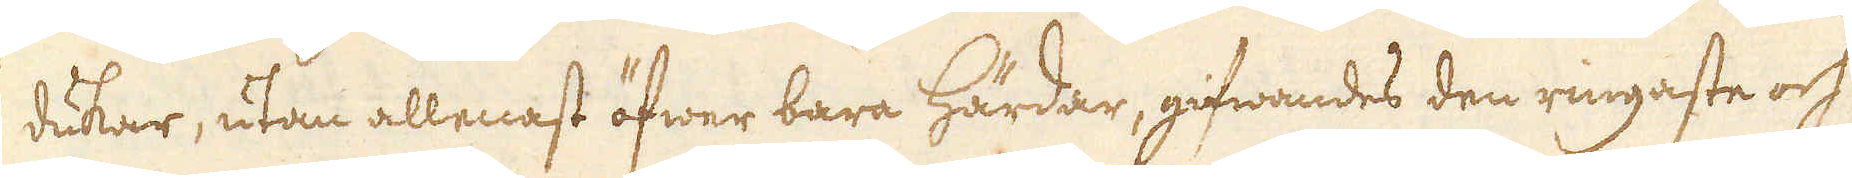dukar, utan allenast öfwer bara härdar, gifwandes den ringaste och
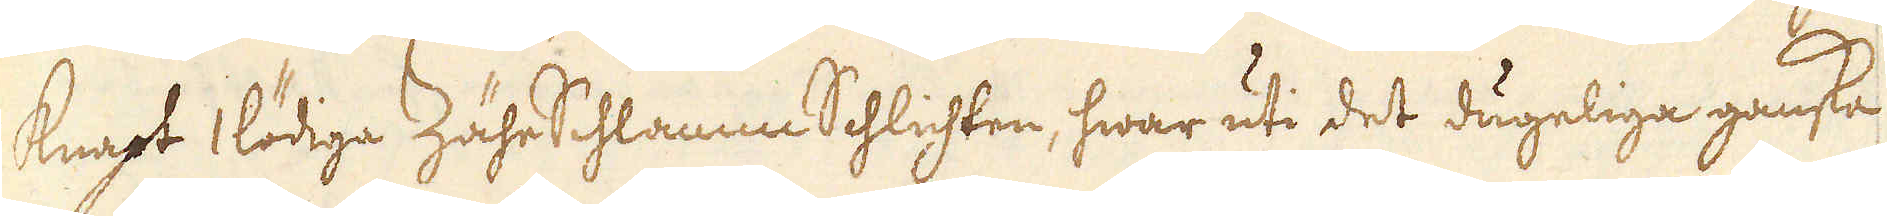knapt 1 lödiga ZäheSchlamm Schlichten, hwar uti det dugeliga ganska
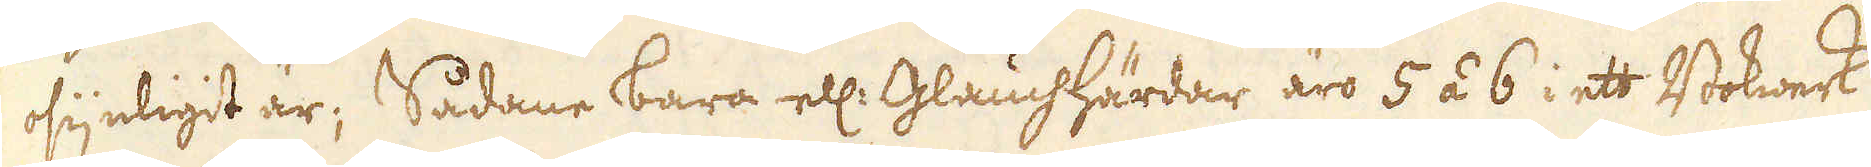osynligit är; Sådane bara ell: GlauchHärdar äro 5 á 6 i ett Bokwerk
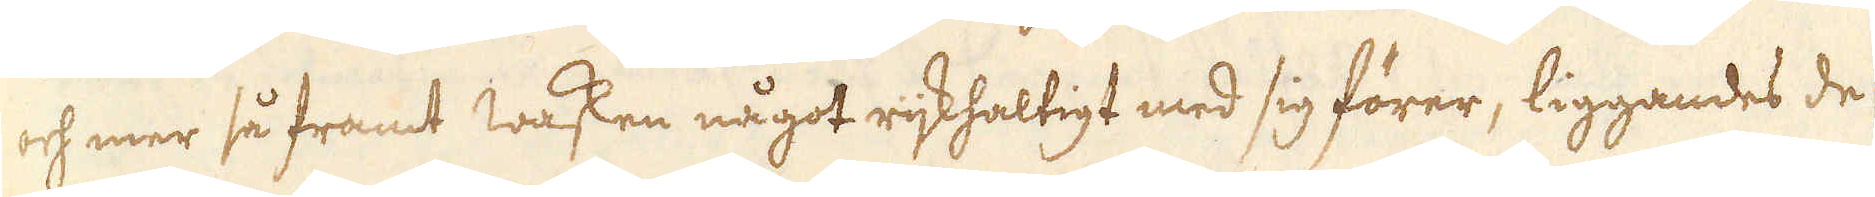och mer så framt wasken något rijkhaltigt med sig förer, liggandes de
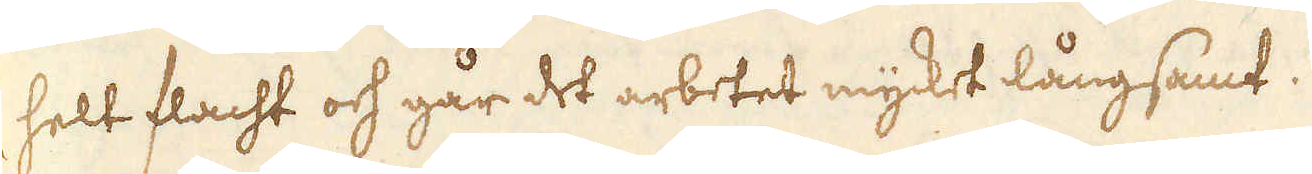helt flacht och går det arbetet mycket långsamt.
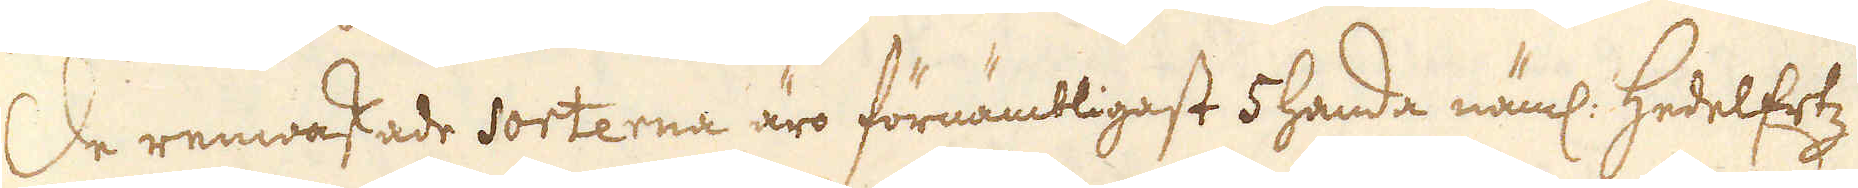De renwaskade sorterna äro förnämbligast 5 handa näml: HedelErtz
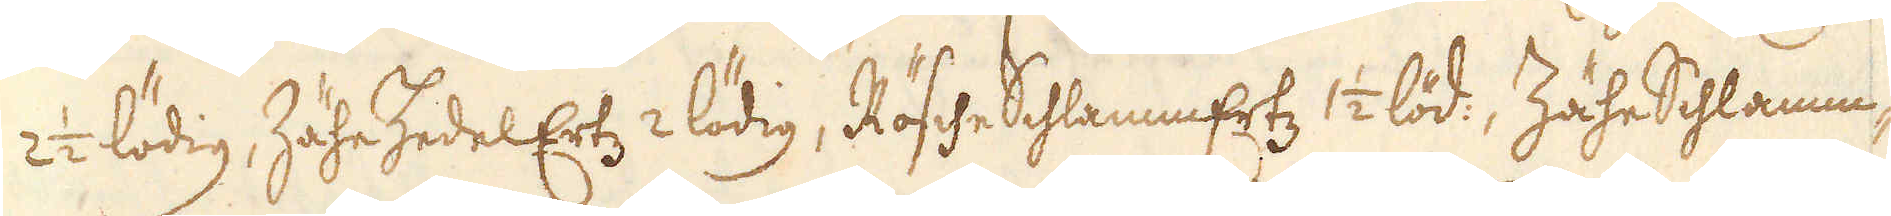2 1/2 lödig, Zähe HedelErtz 2 lödig, Rösche SchlammErtz 1/2 löd:, Zähe Schlamm-
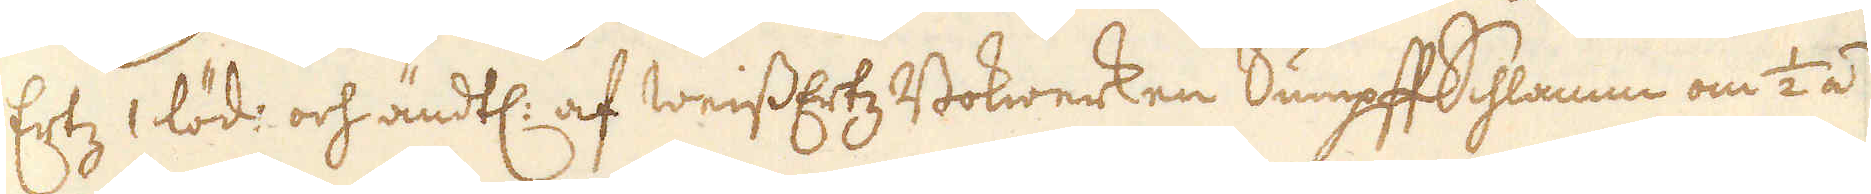Ertz 1 löd: och ändtl: af WeissErtz Bokwerken Sumpff Schlamm om 1/2 á
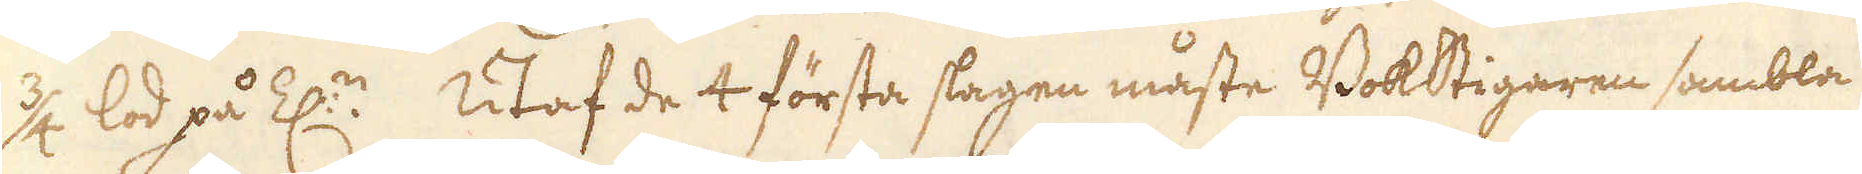3/4 lod på Z:n. Utaf de 4 första slagen måste Bokstigaren sambla
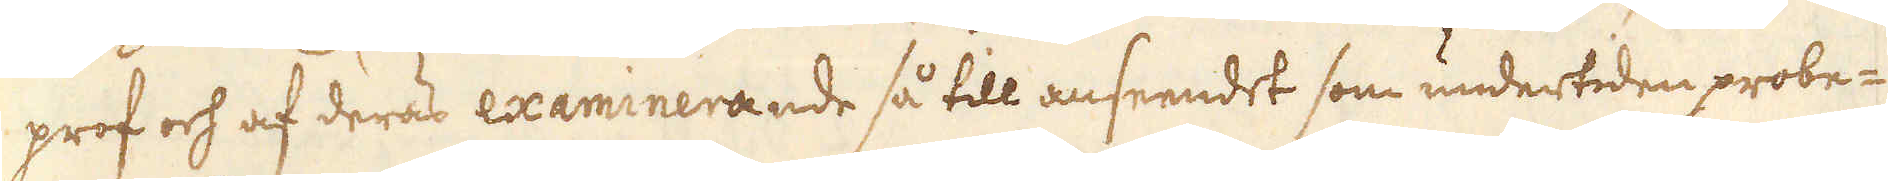prof och af deras examinerande så till anseendet som undertiden probe-
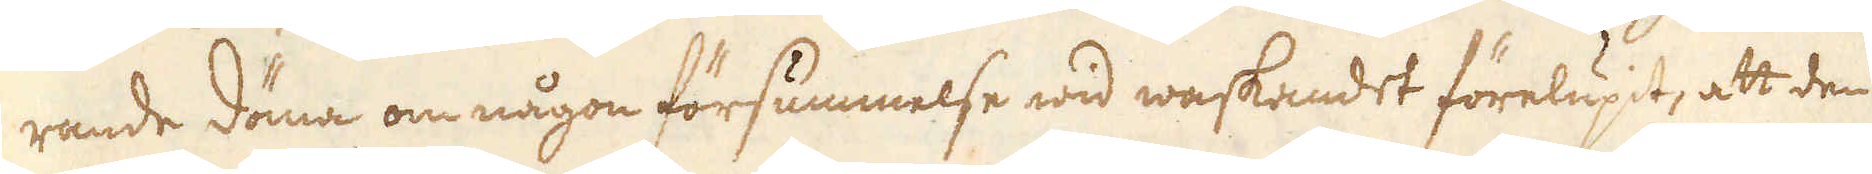rande döma om någon försummelse wid waskandet förelupit, att den
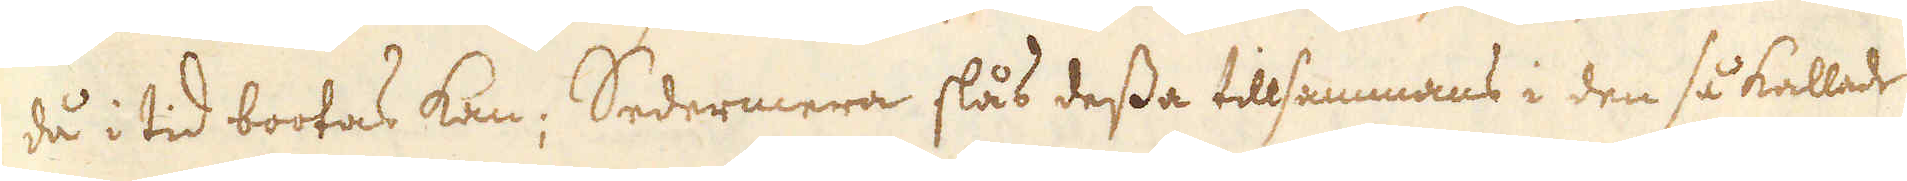då i tid bootas kan; Sedermera slås dessa tillsammans i den så kallade
